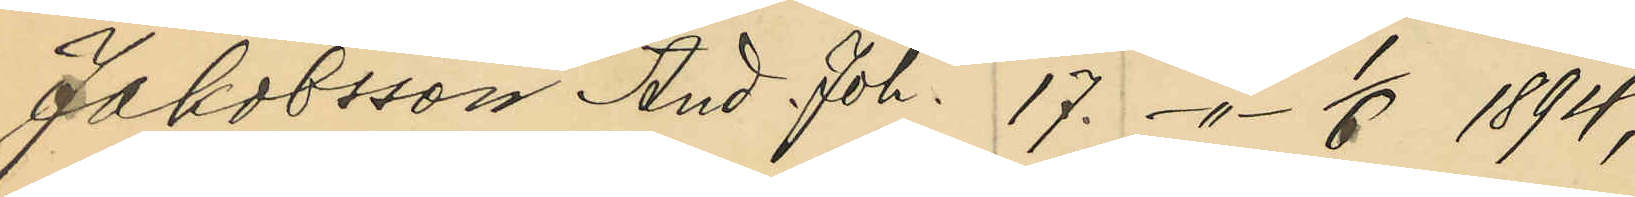Jakobsson And. Joh. 17. -"- 1/6 1894;
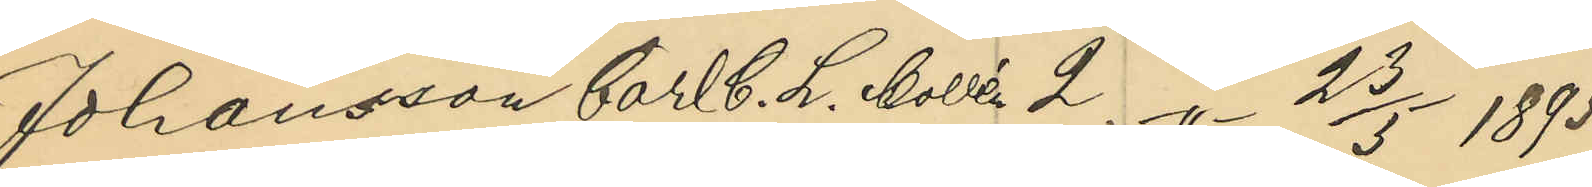Johansson Carl C. L. Mollén 2. -"- 23/5 1895;
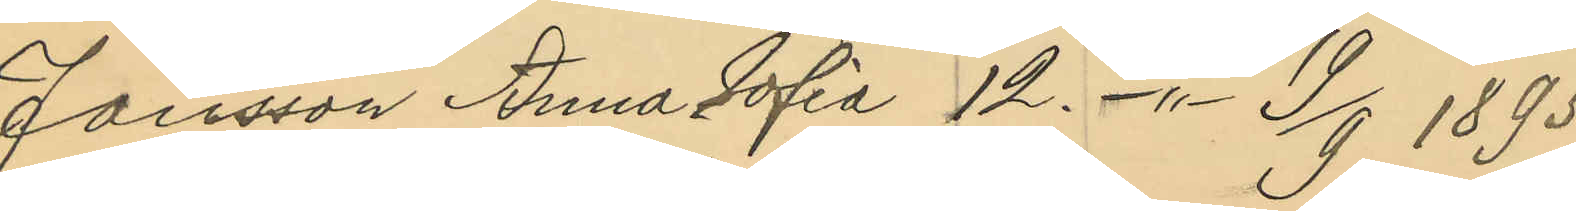Jansson Anna Sofia 12. -"- 19/9 1895;
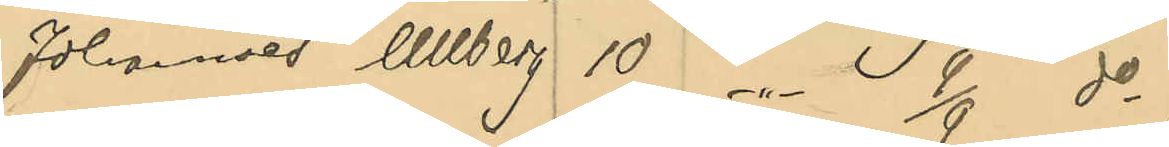Johannes Ullberg 10 -"- 9/9 do;
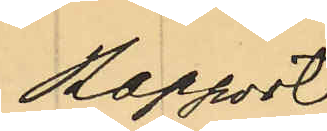Rapport
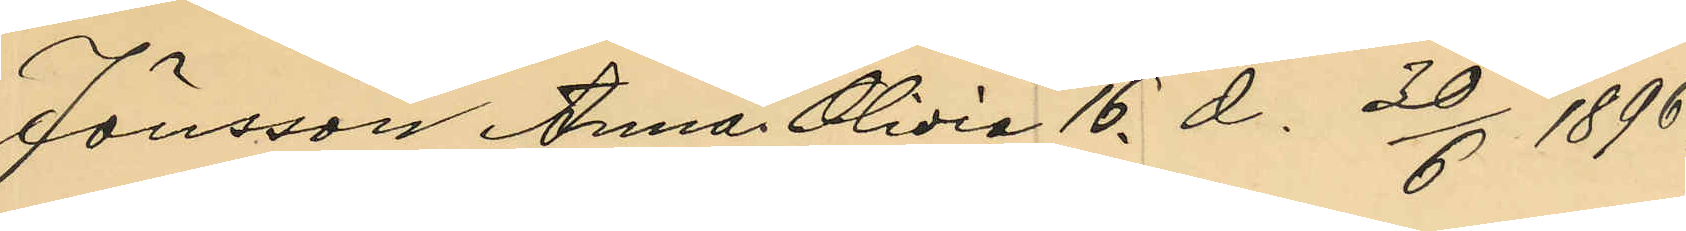Jönsson Anna Olivia 16. d. 30/6 1896;
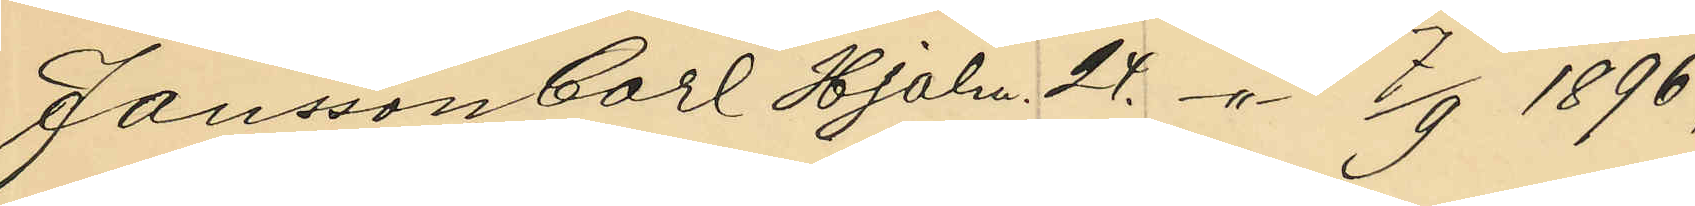Jansson Carl Hjalm. 24. -"- 7/9 1896;
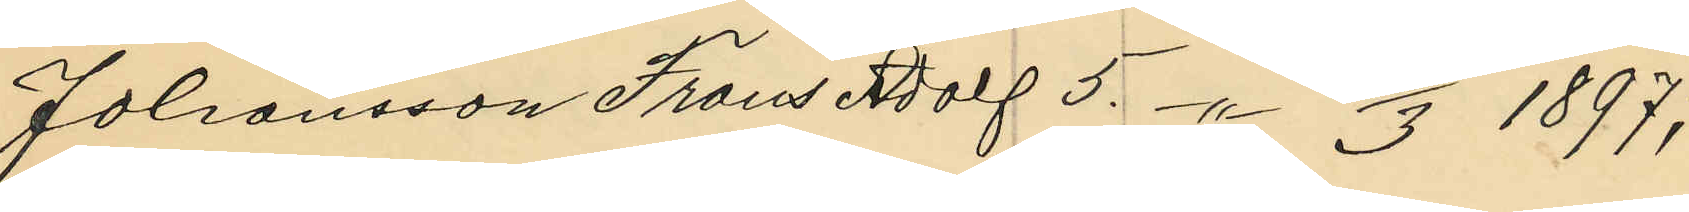Johansson Frans Adolf 5. -"- 2/3 1897;
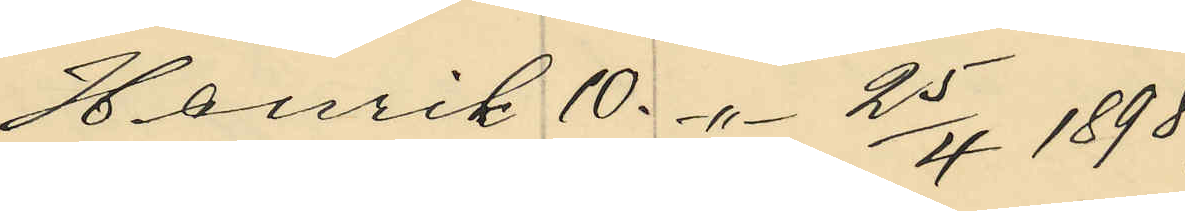Henrik 10. -"- 25/4 1898;
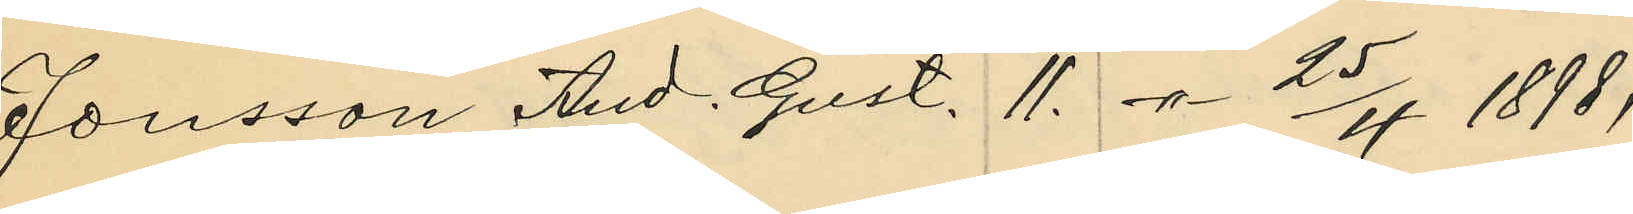Jonsson Aud. Gust. 11. -"- 25/4 1898;
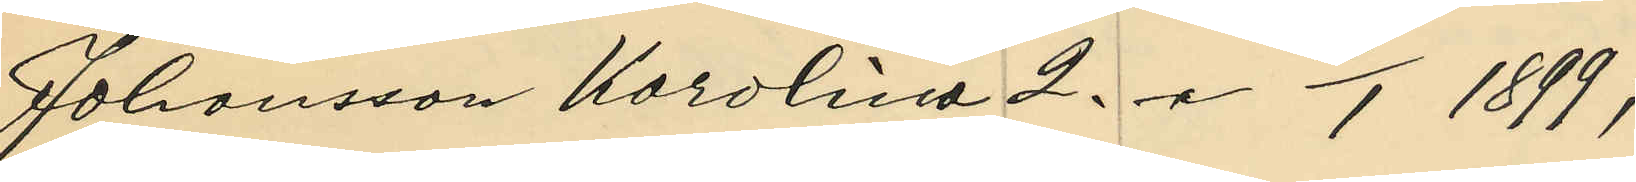Johansson Karolina 2. -"- 16/1 1899;
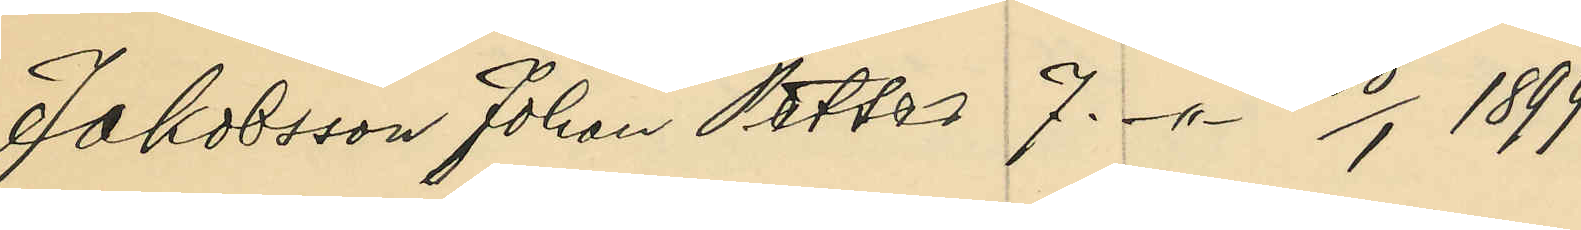Jakobsson Johan Petter 7. -"- 28/1 1899;
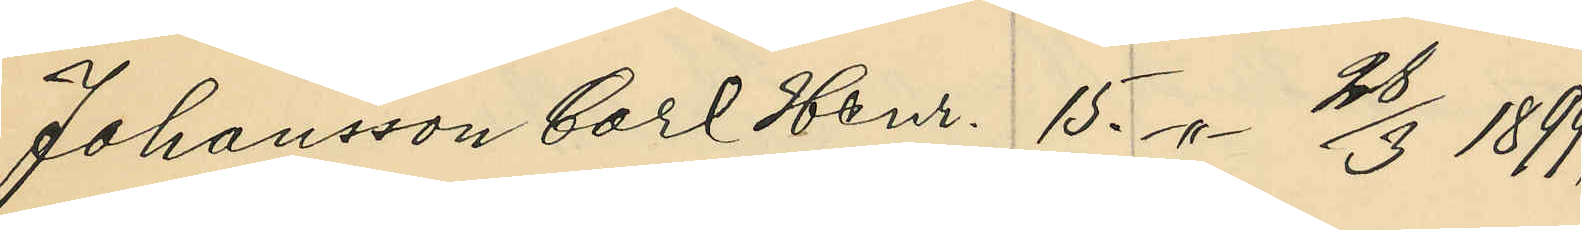Johansson Carl Henr. 15 -"- 28/3 1899;
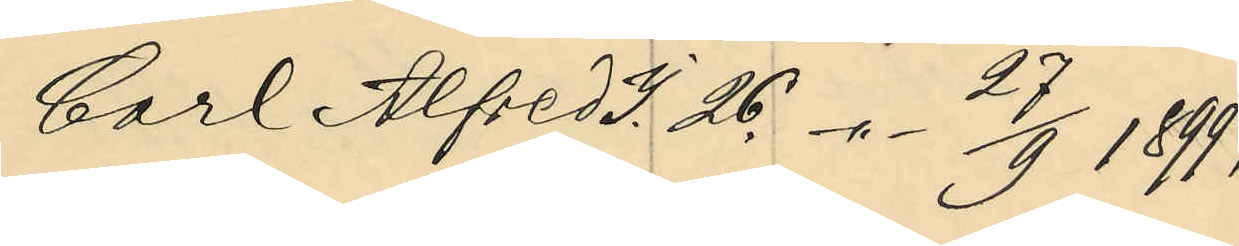Carl Alfred J. 26. -"- 27/9 1899;
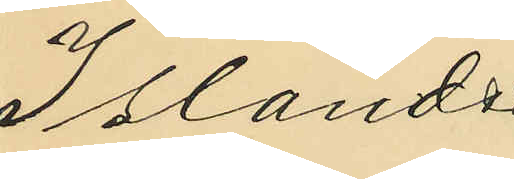Islander
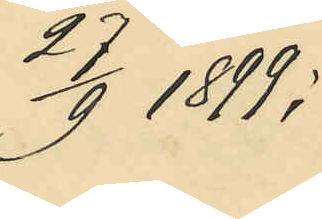27/9 1899;
